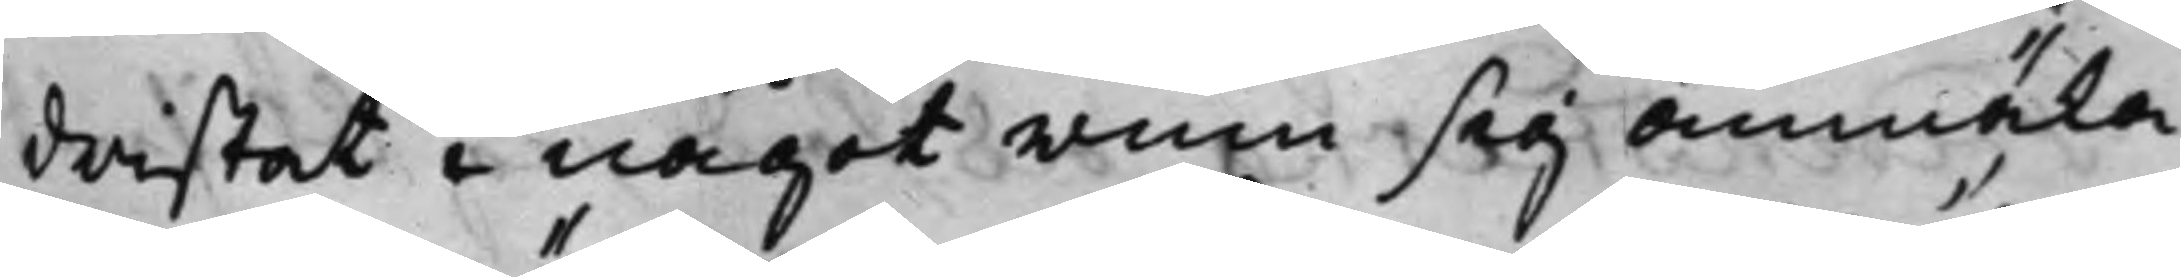dristat i något rum sig anmäla
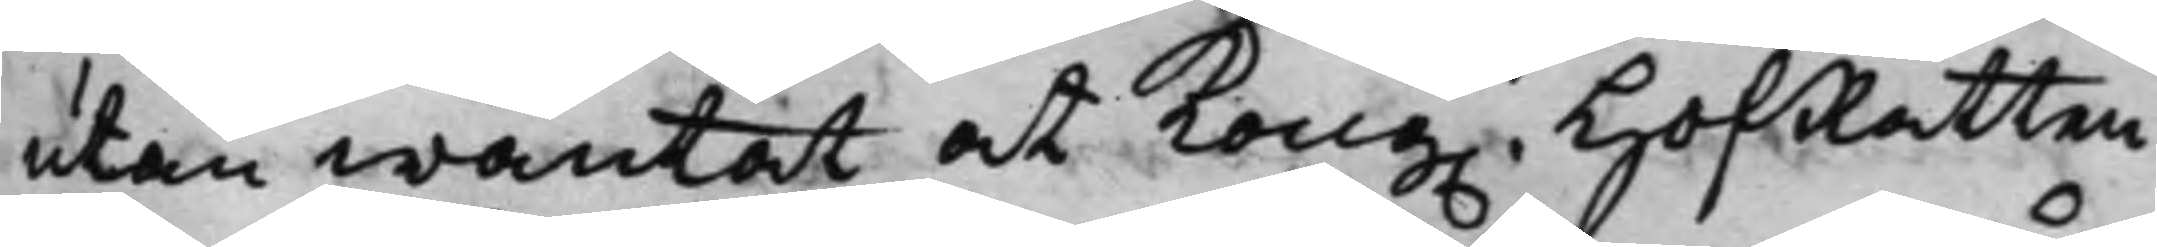utan wäntat at Kong. HofRätten
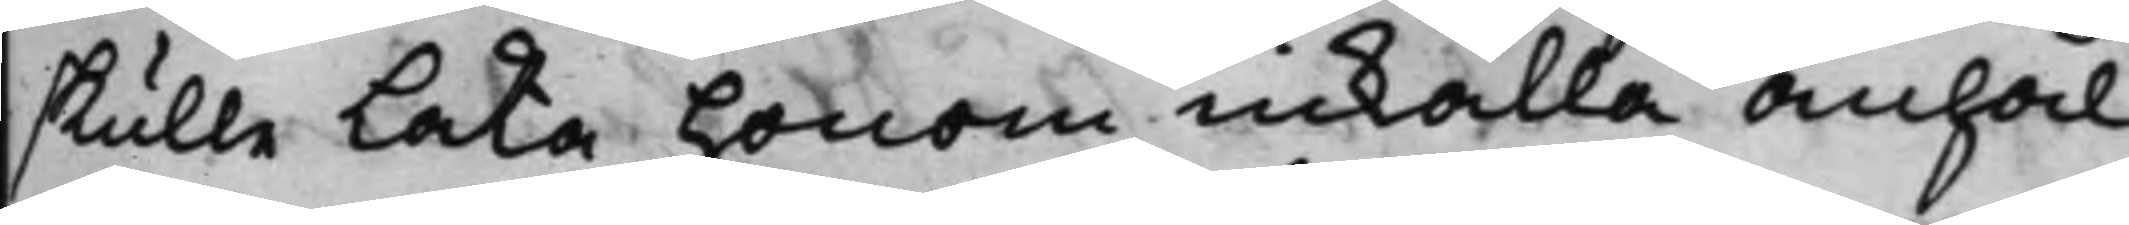skulle låta honom inkalla anhål¬
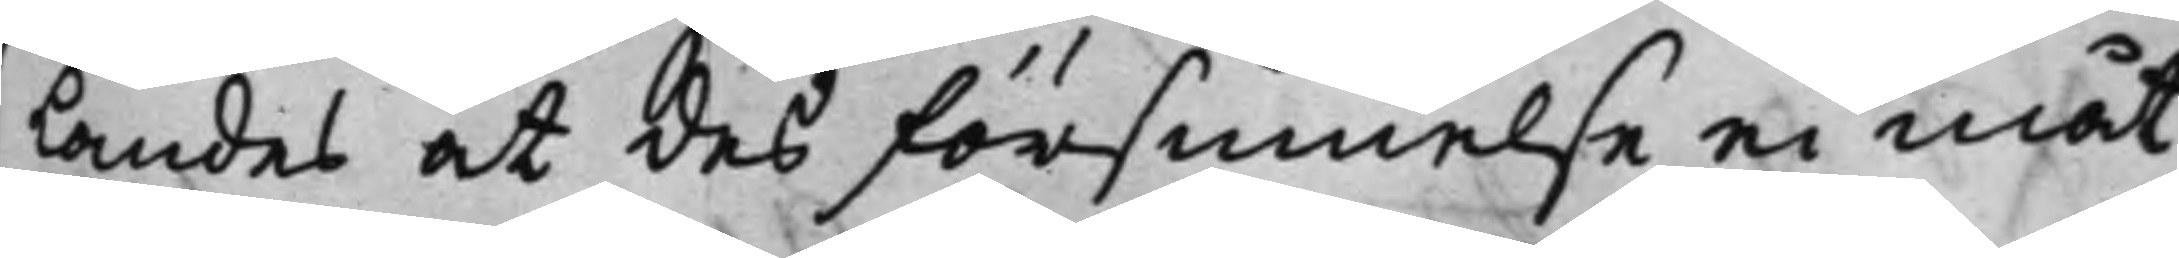landes at des försummelse ei måt¬
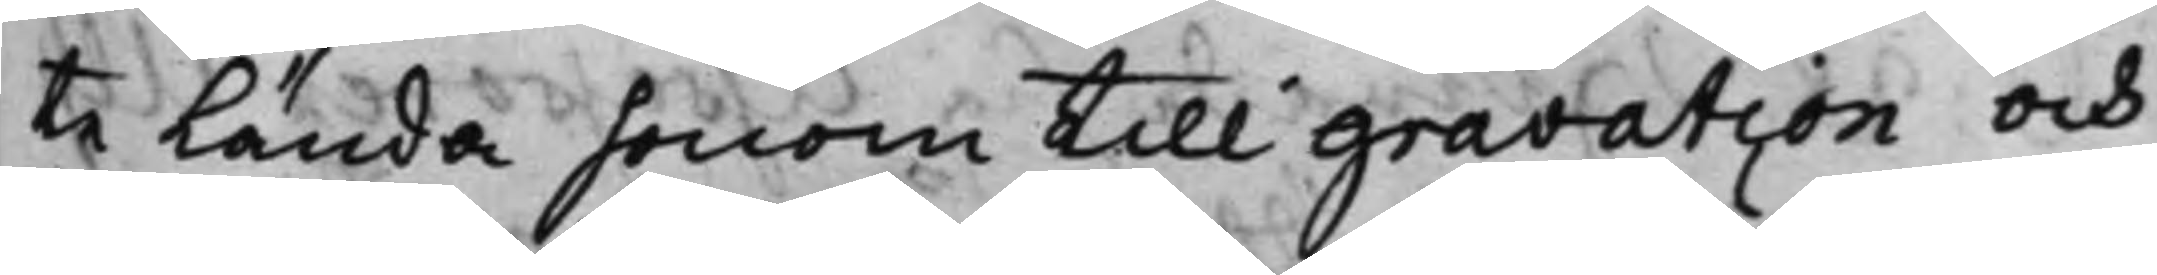te lända honom till gravation och
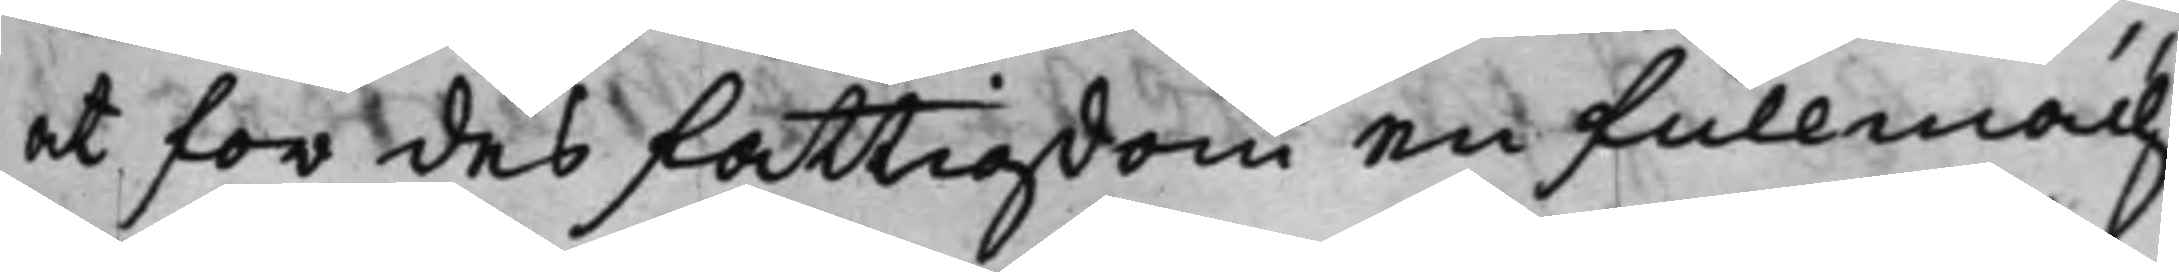at för des fattigdom en Fullmäch¬
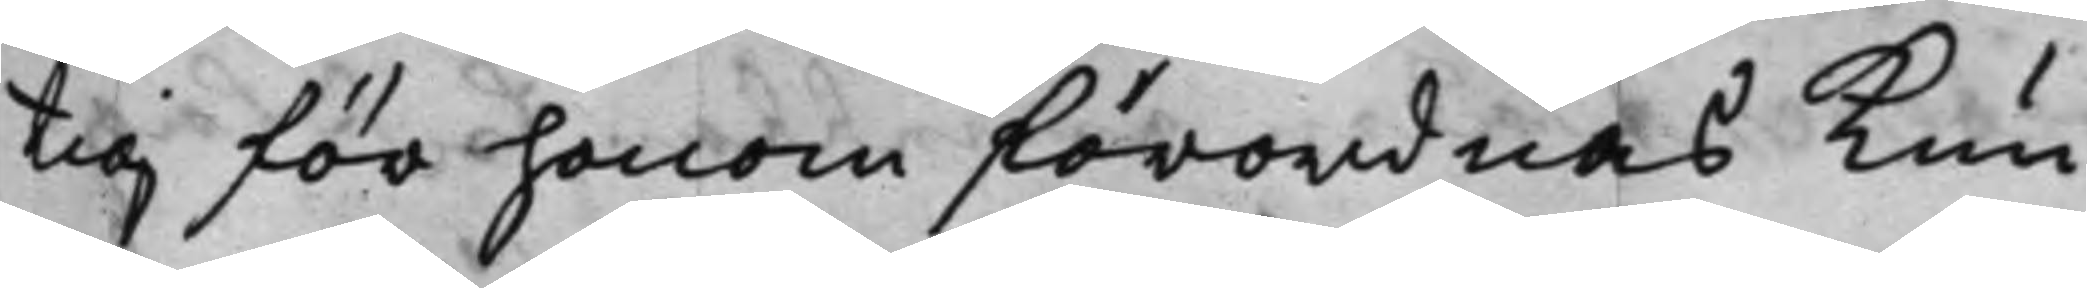tig för honom förordnas kun¬
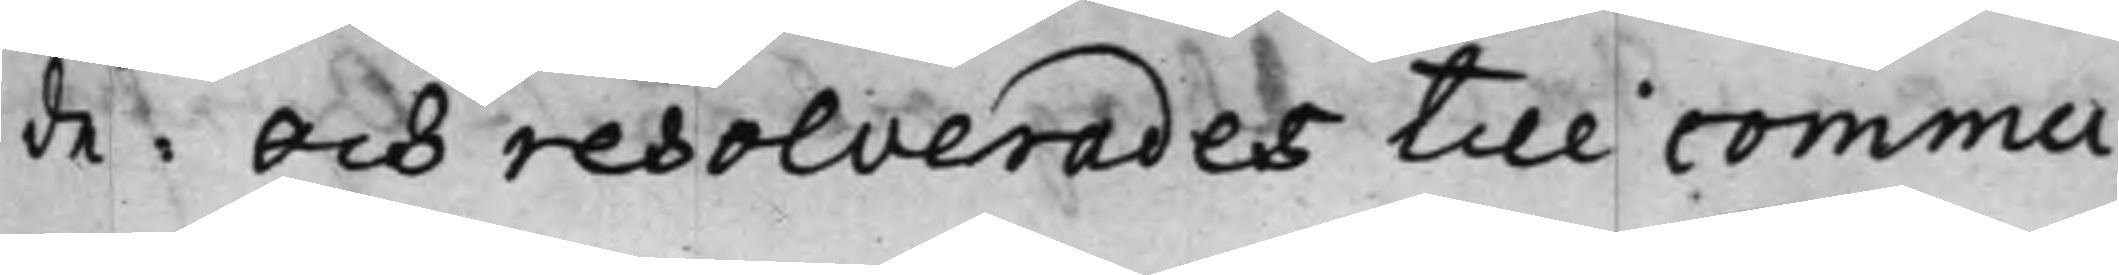de. Och resolverades till commu¬
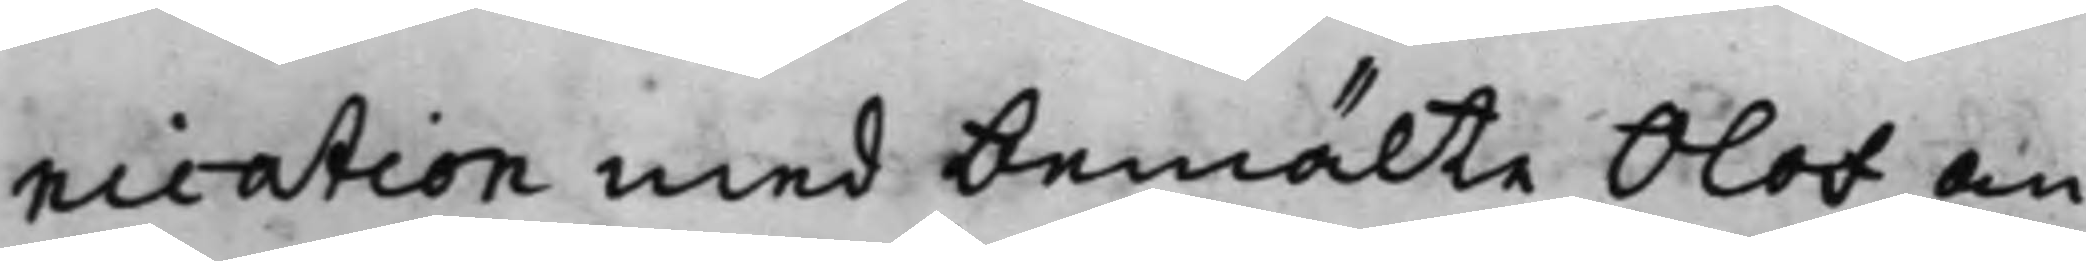nication med bemälte Olof An¬
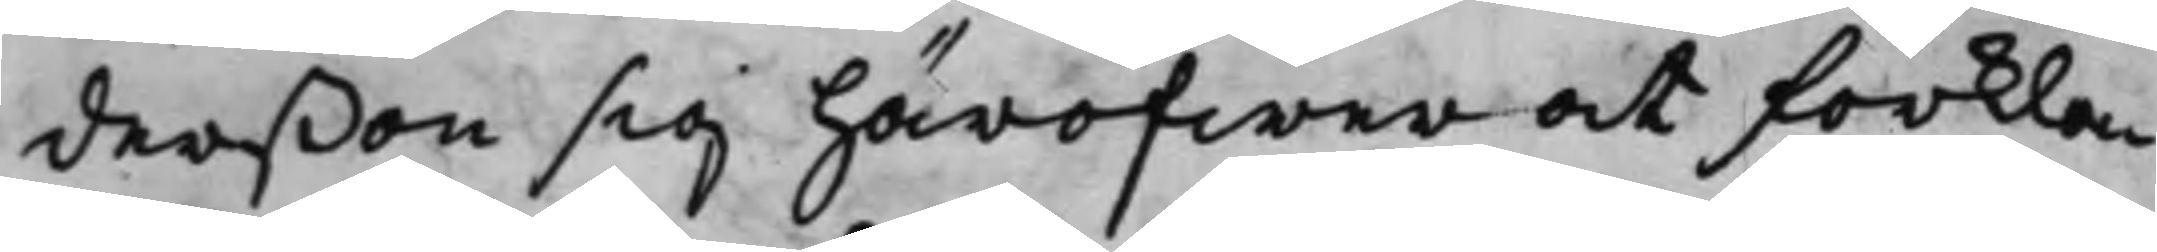derßon sig häröfwer at förkla¬
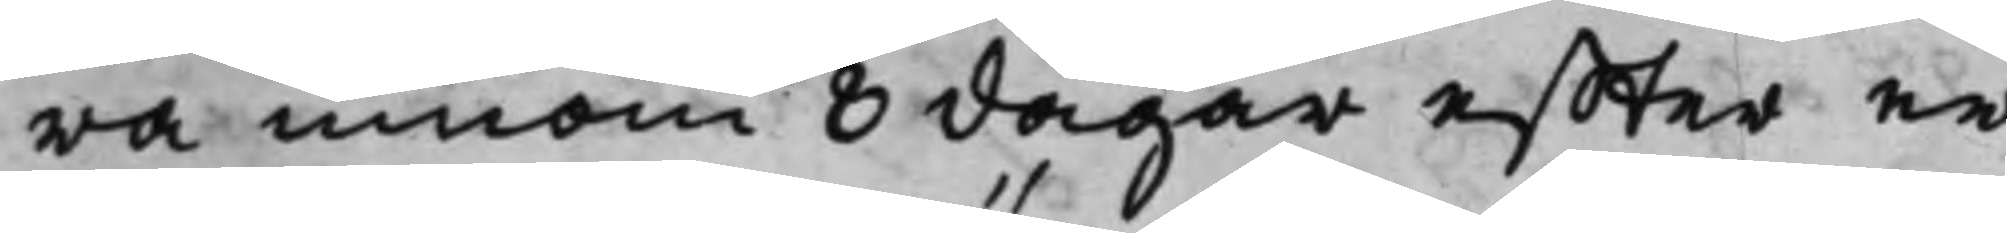ra innom 8 dagar effter er¬
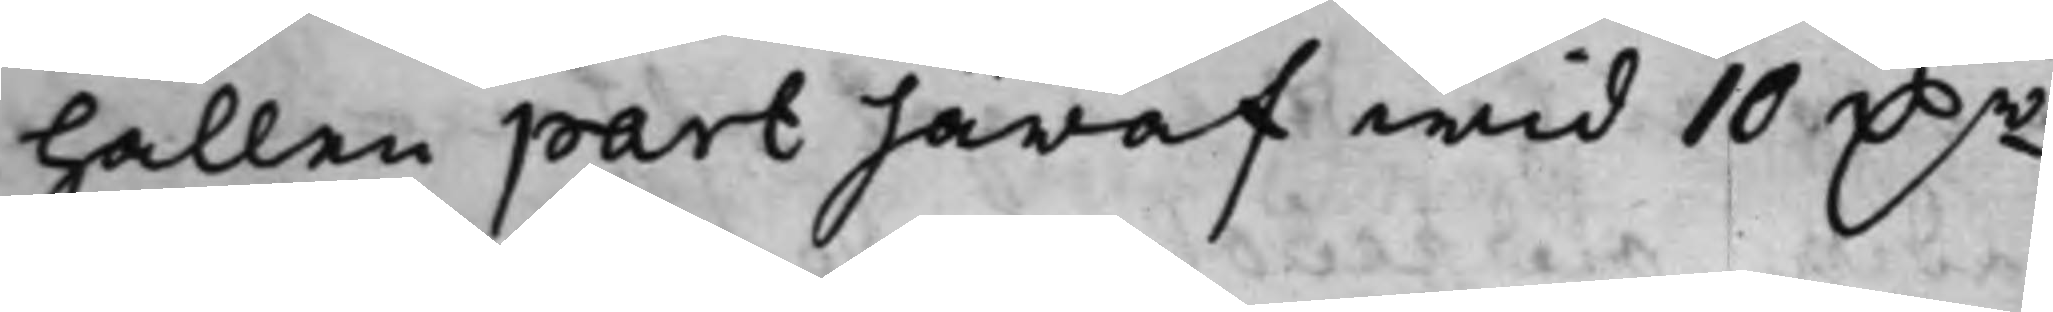hållen part häraf wid 10 D.r
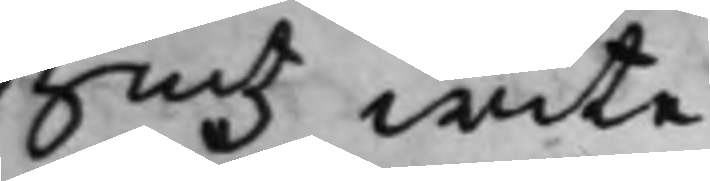Smtz wite.
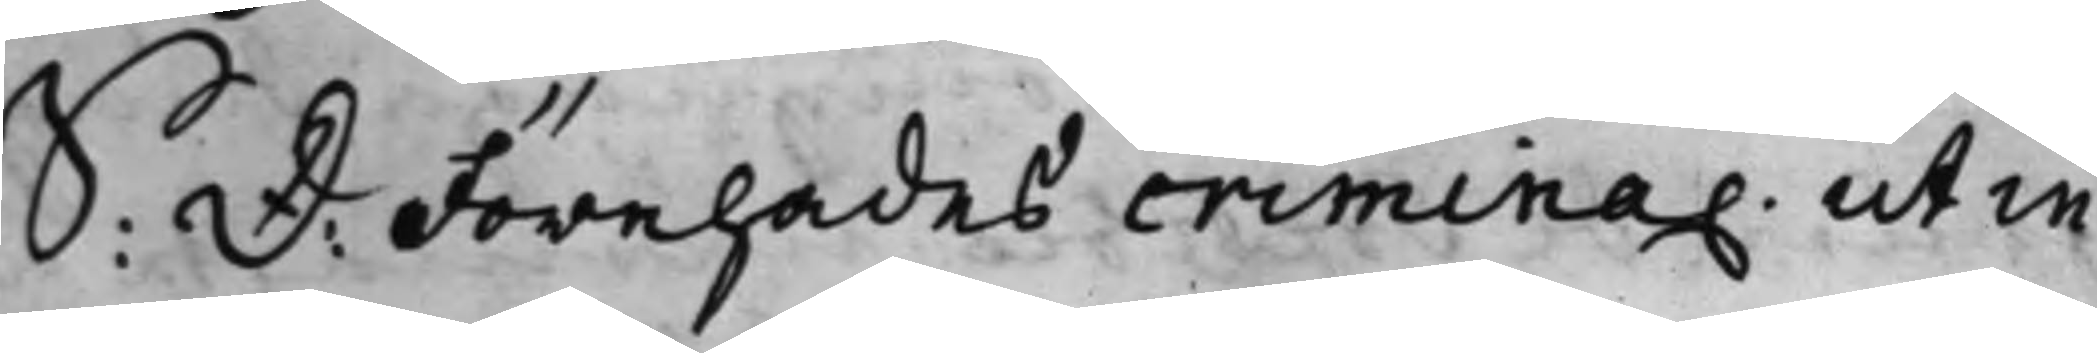S: D: Förehades crimina. ut in
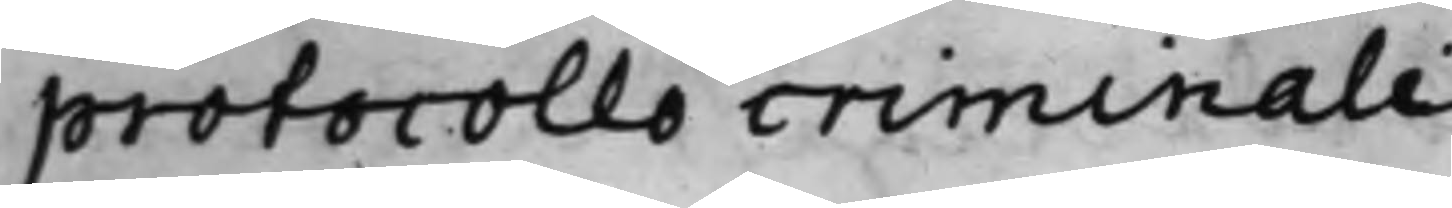protocollo criminali.
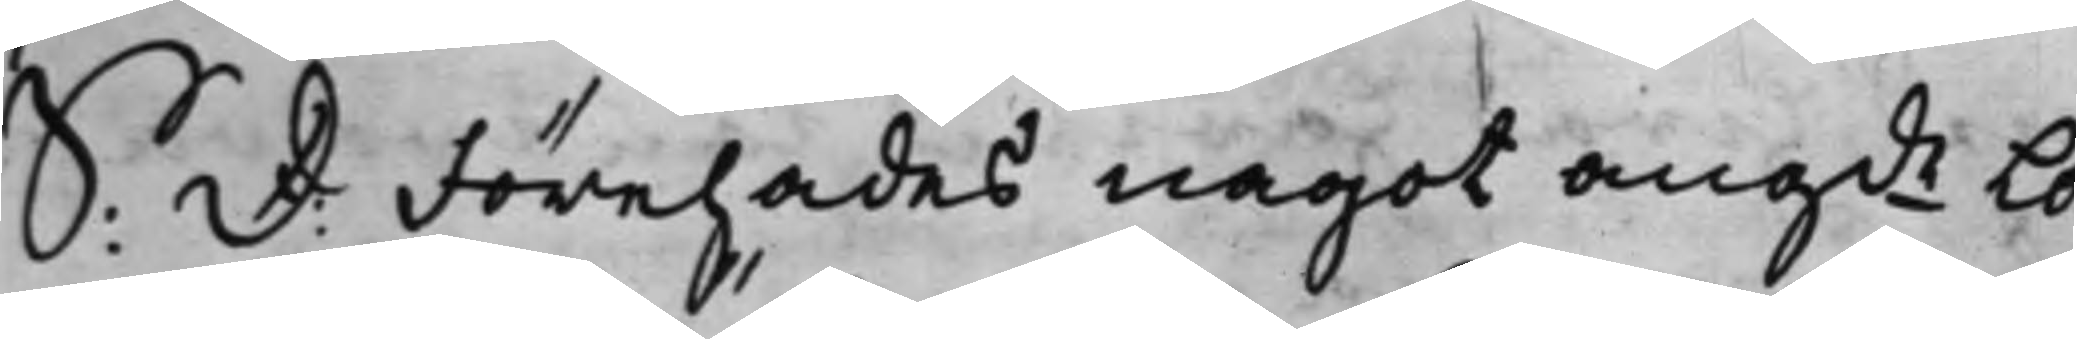S: D: Förehades något angde Lo¬
